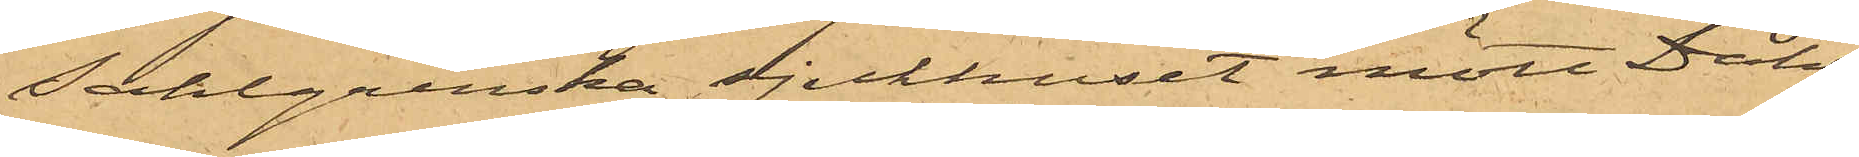Sahlgrenska sjukhuset mött Dahl¬
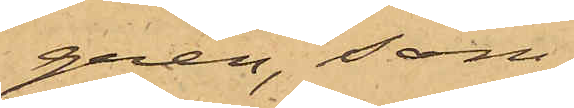gren, som
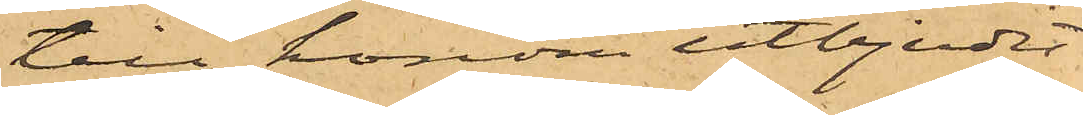till honom utbjudit
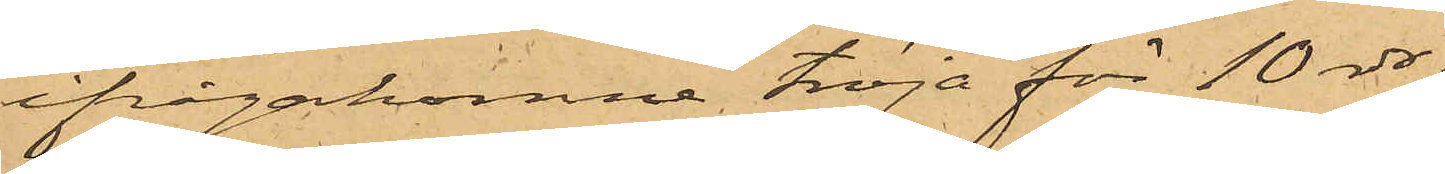ifrågakomne tröja för 10 rdr;
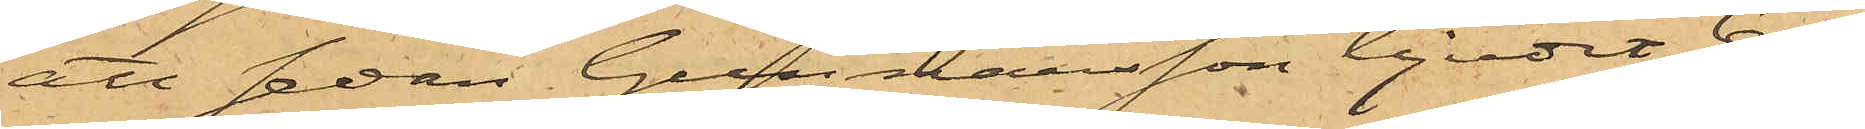att sedan Gunnarsson bjudit 6 rdr
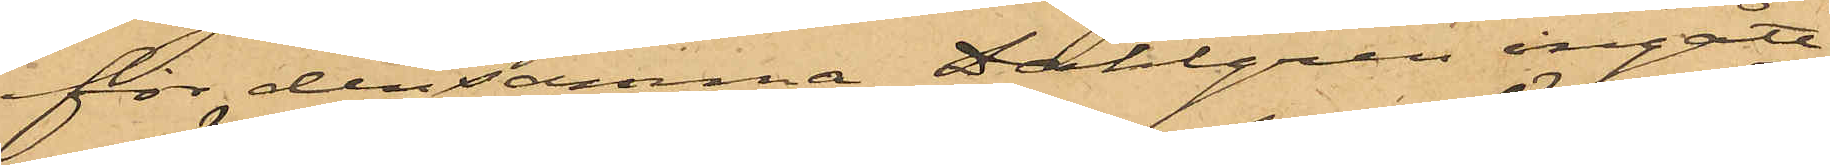för densamma, Dahlgren ingått
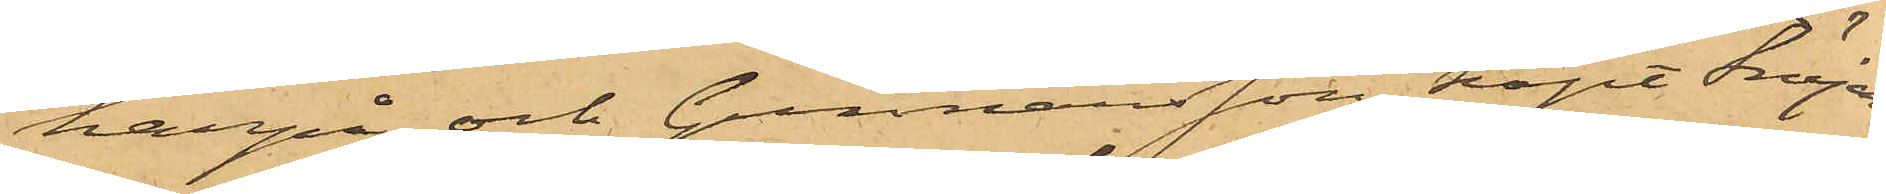härpå och Gunnarsson köpt tröjan,
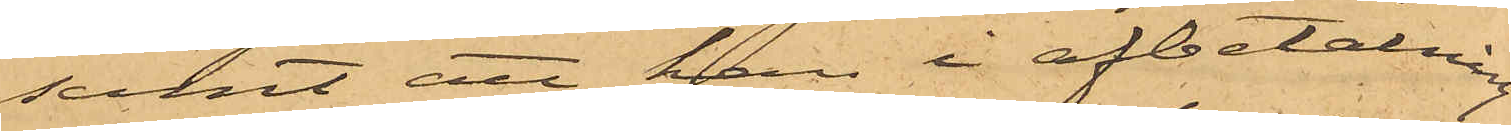samt att han i afbetalning
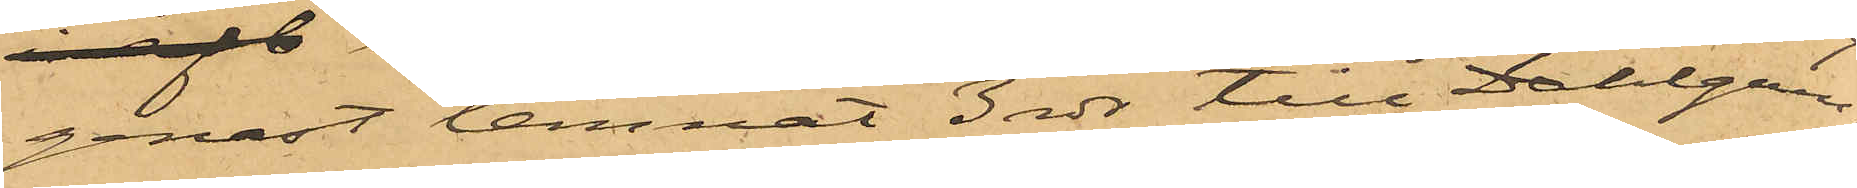genast lemnat 3 rdr till Dahlgren,
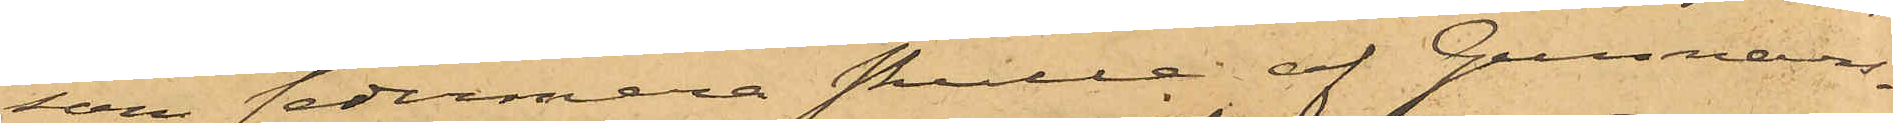som sedermera skulle af Gunnars¬
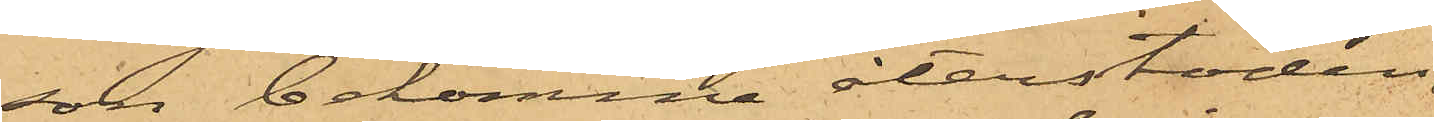son bekomma återstoden,
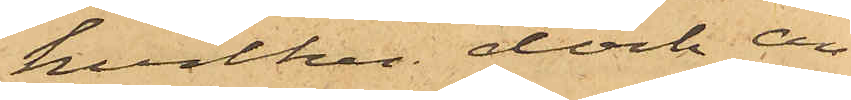hvilken dock än¬
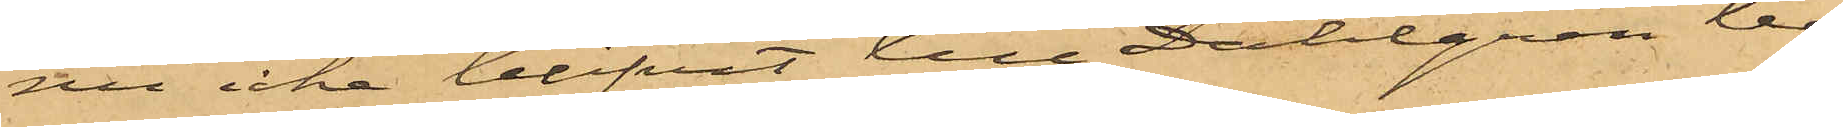nu icke blifvit till Dahlgren be¬
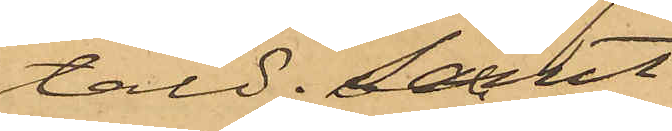tald; samt
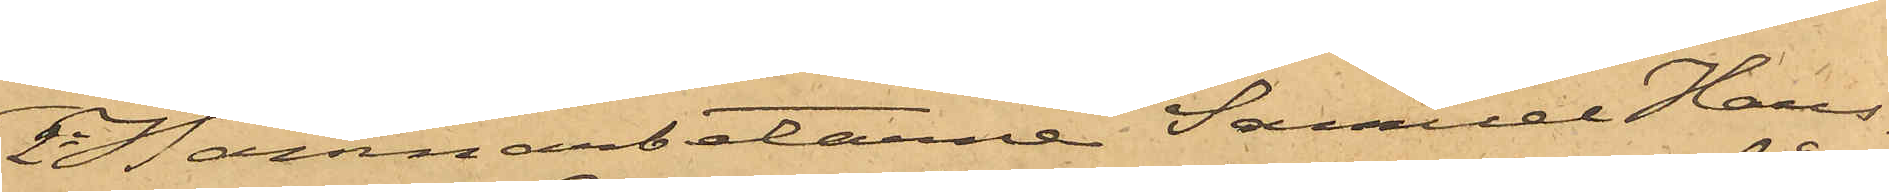2o Hamnarbetarne Samuel Hans¬
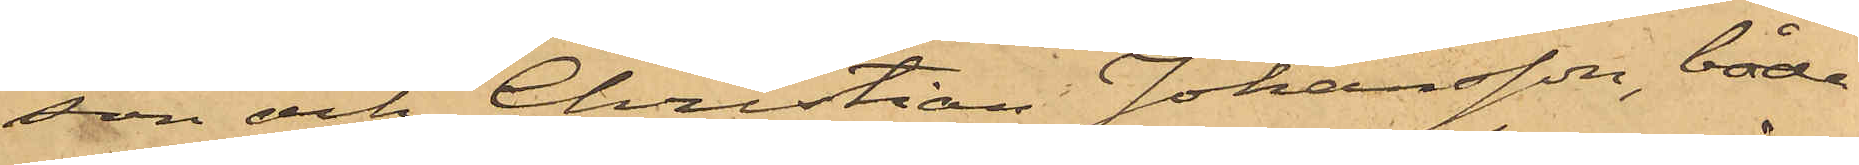son och Christian Johansson, båda
